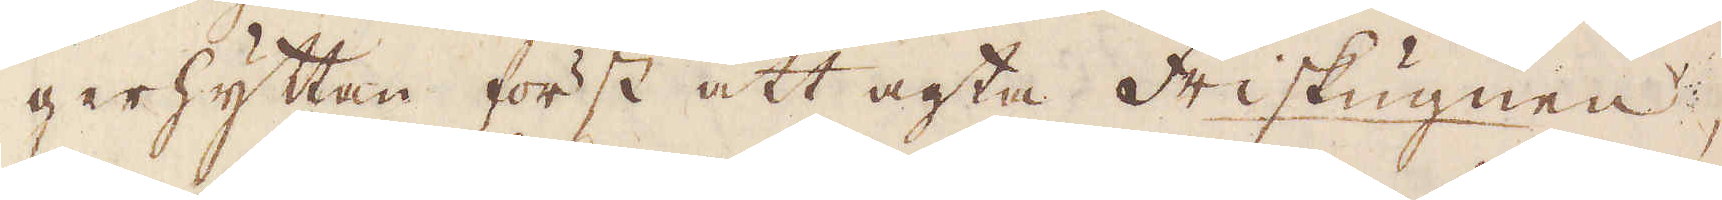gerhyttan först att agta Friskugnen,
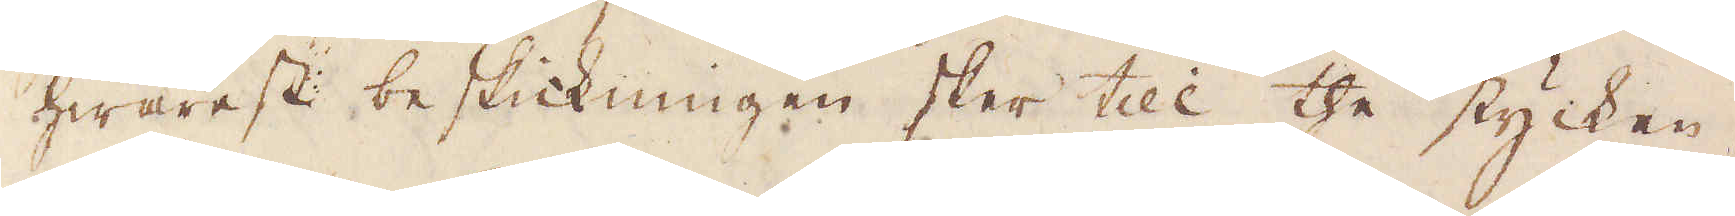hwarest beskickningen sker till the stycken,
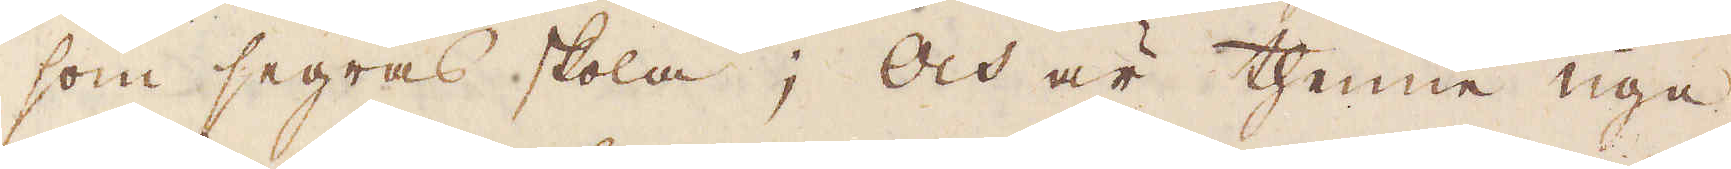som segras skola; och är thenne ugn
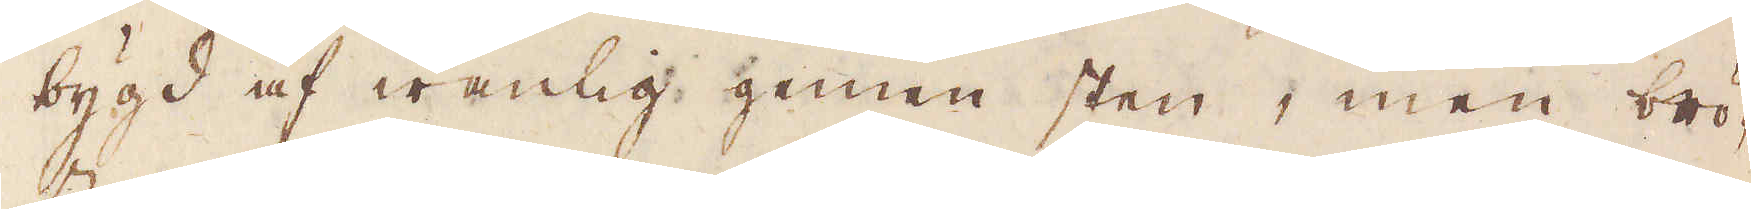bygd af wanlig gemen sten, men brö-
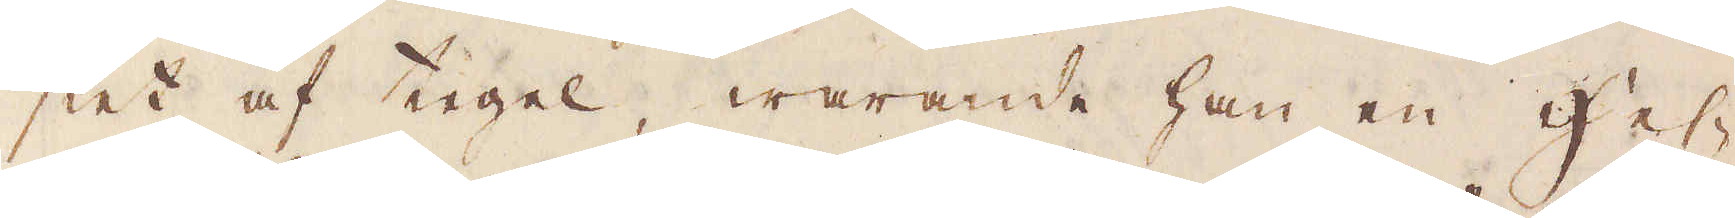stet af tegel, warande han en Hes-
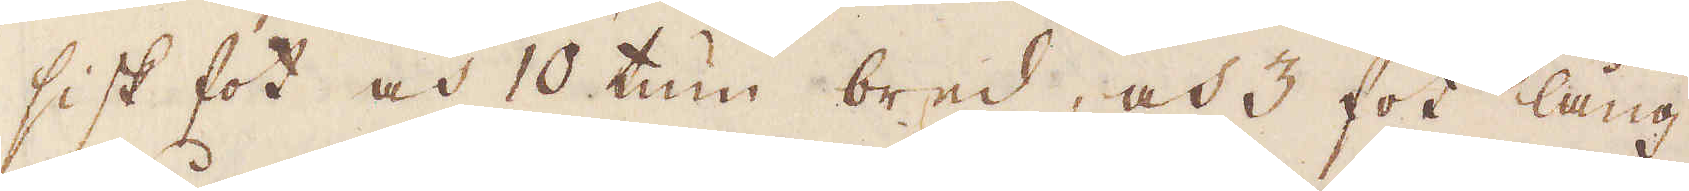sisk fot och 10 tum bred, och 3 fot lång
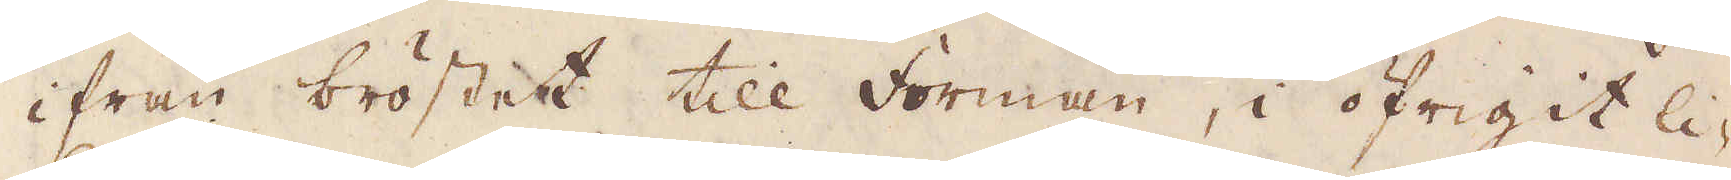ifrån bröstet till Forman, i öfrigit li-
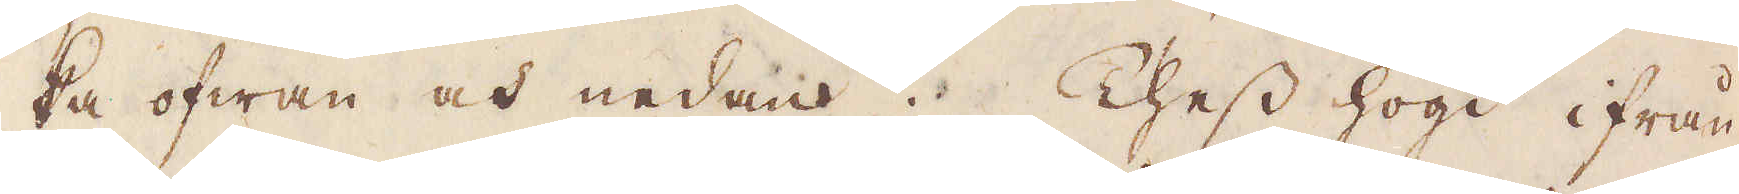ka ofwan och nedan. Thess högd ifrån
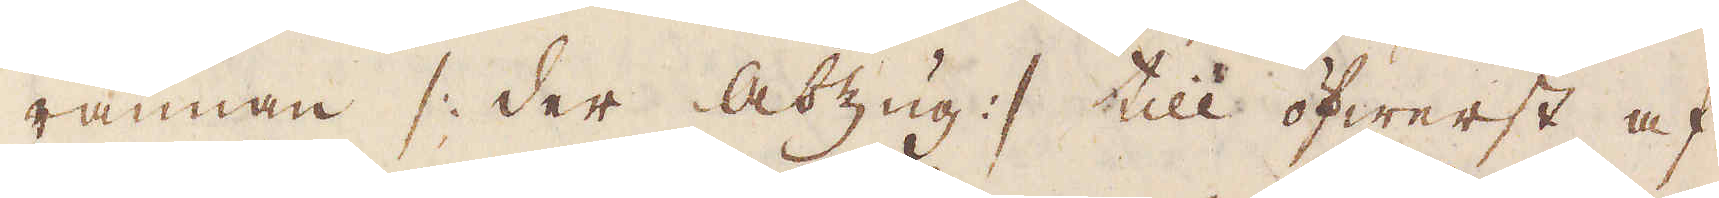rännan /: der Abzug :/ till öfwerst af
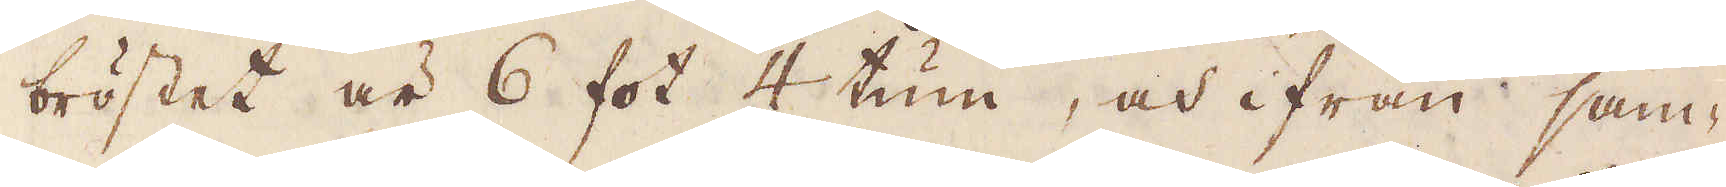bröstet är 6 fot 4 tum, och ifrån sam-
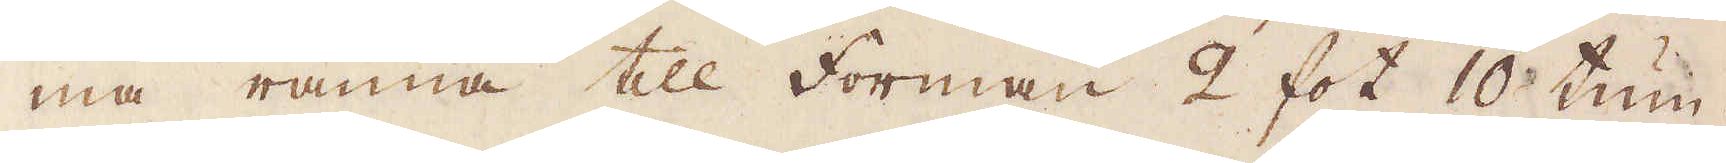ma ränna till Forman 2 fot 10 tum.
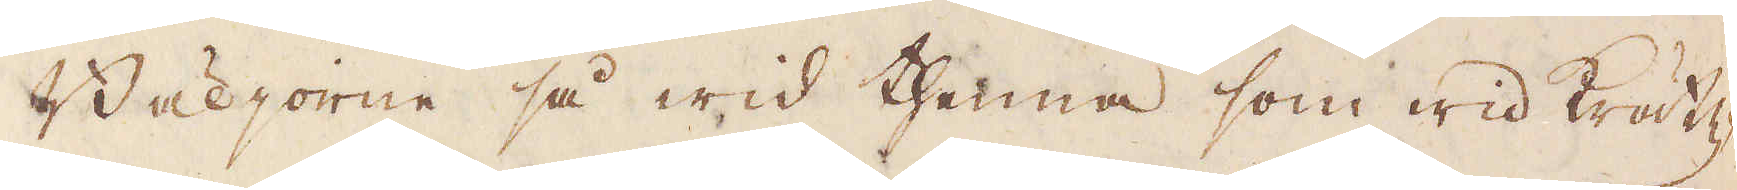Bäljorne så wid thenna som wid krätz-
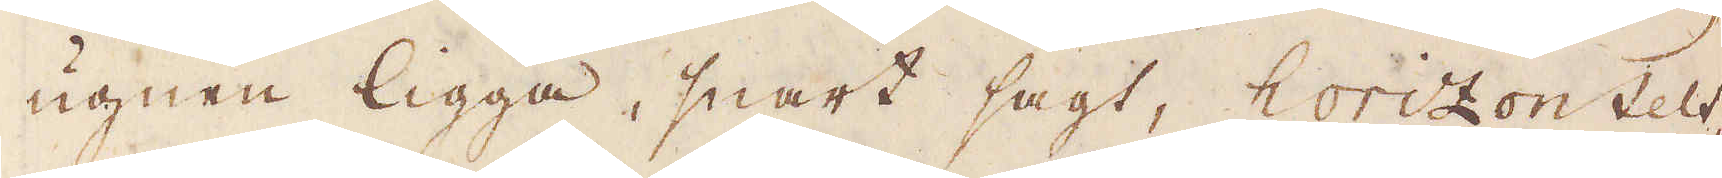ugnen ligga, snart sagt, horizontelt,
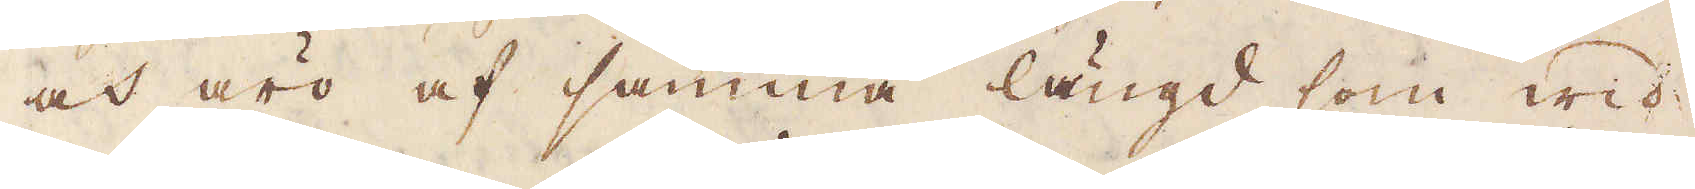och äro af samma längd som wid
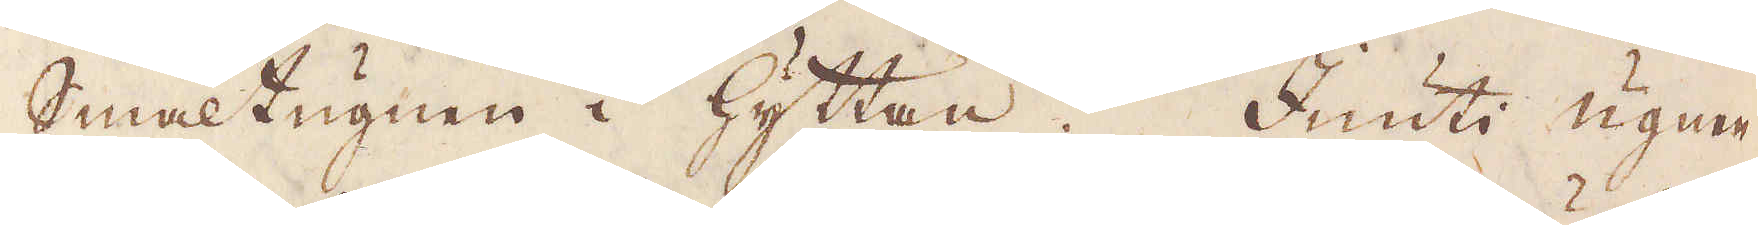Smältugnen i hyttan. Inuti ugnen
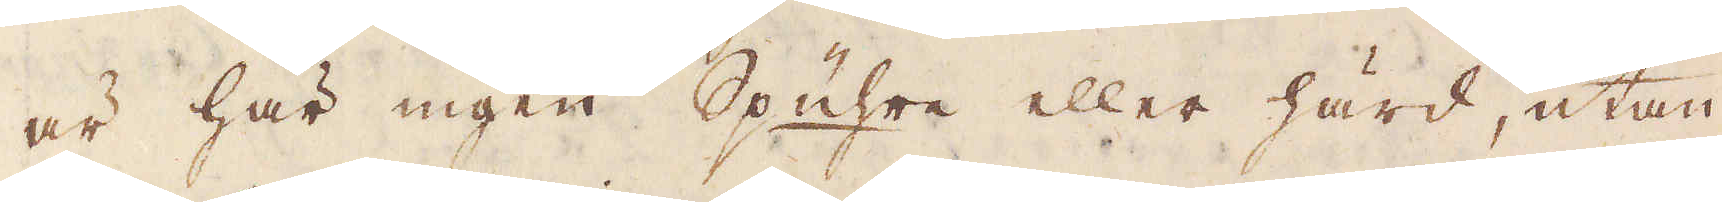är här ingen Spuhre eller härd, utan
